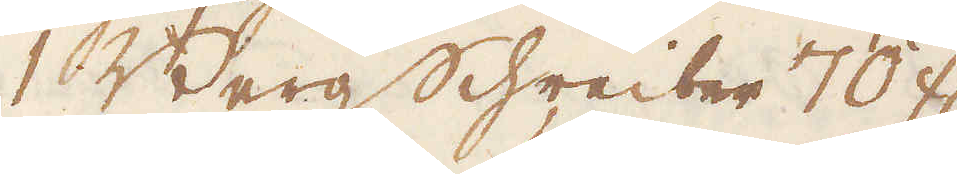1 Bergschreiber 70 fl.
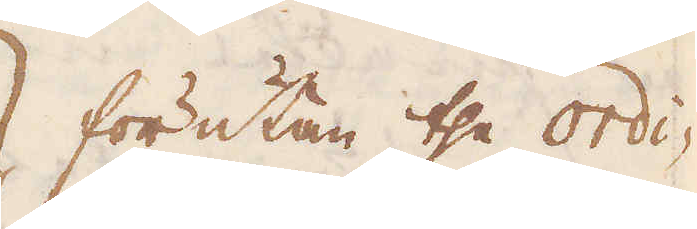förutan the ordi-
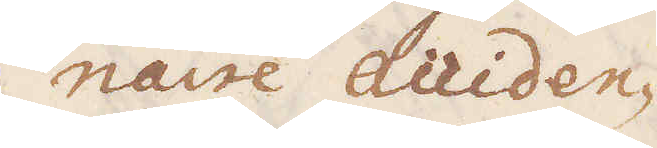naire acciden-
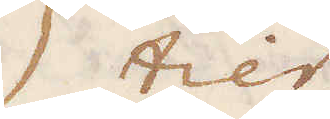tier.
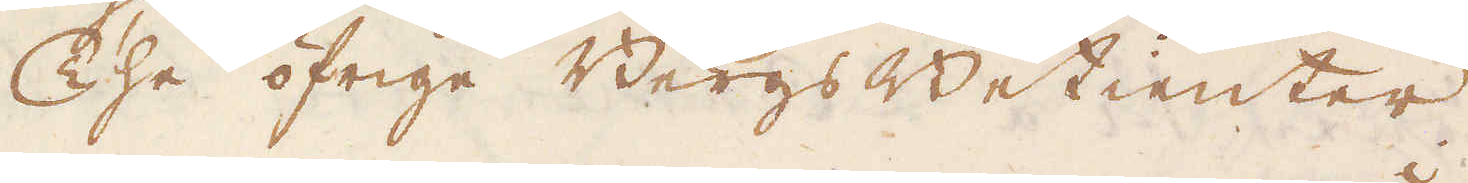The öfrige Bergs Betienter
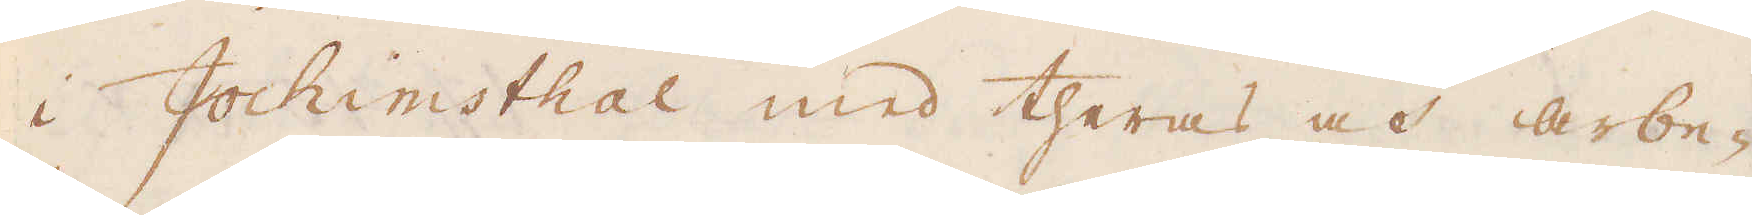i Jochimsthal med theras och arbe-
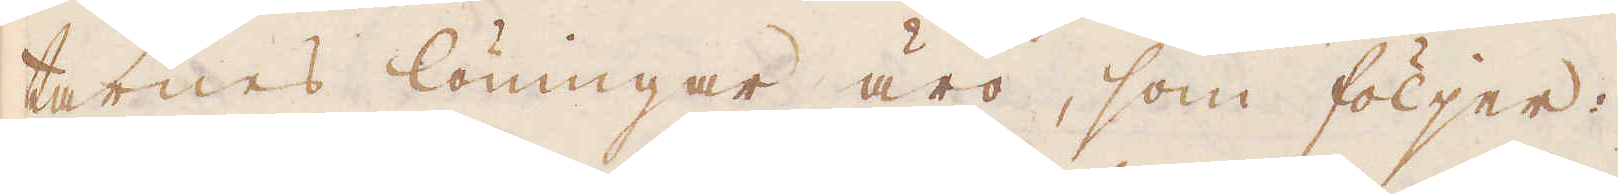tarnes löningar äro, som följer:
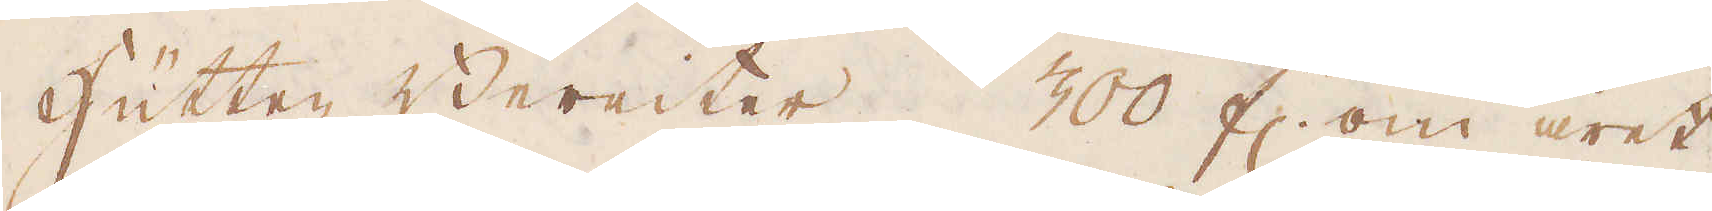Hütten Bereiter 300 fl. om året
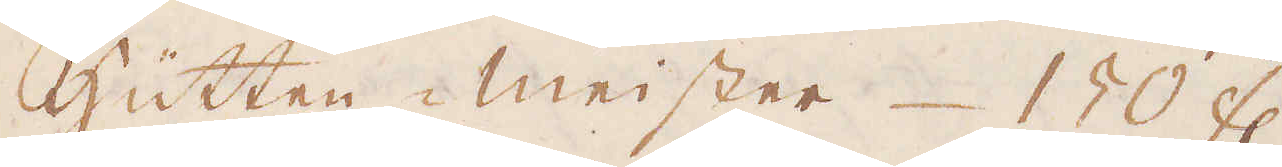Hütten meister 150 fl.
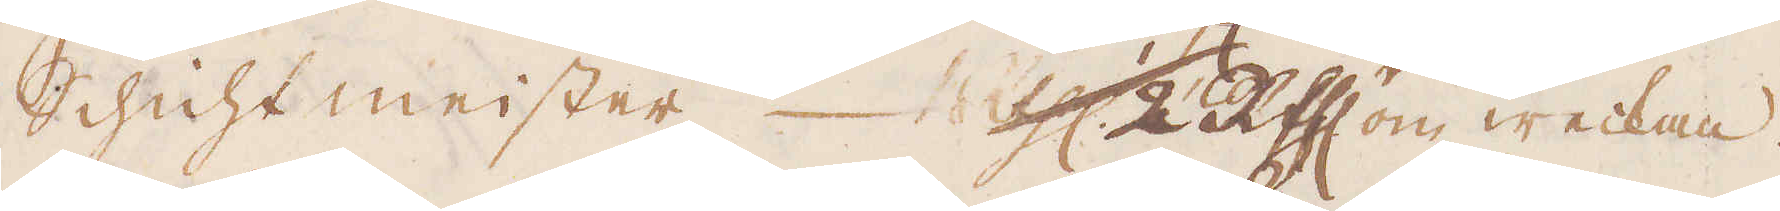Schicht meister 1/2 R:thlr om weckan.
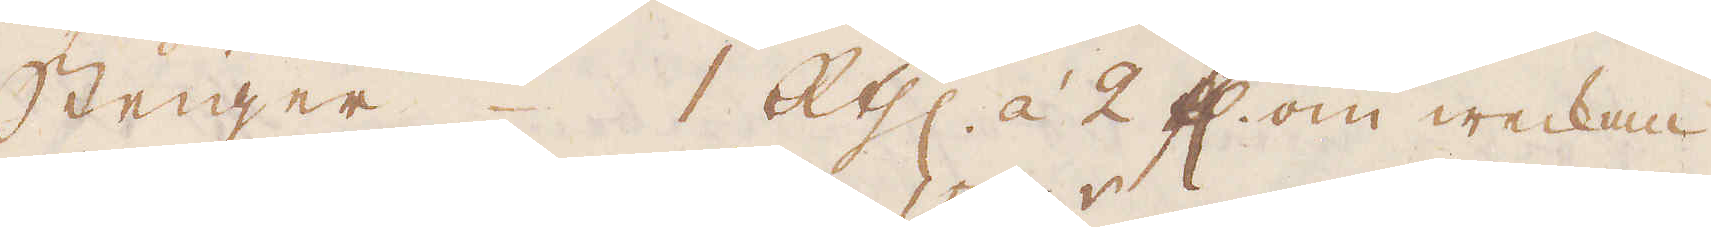Steiger 1 R:thlr à 2 fl. om weckan
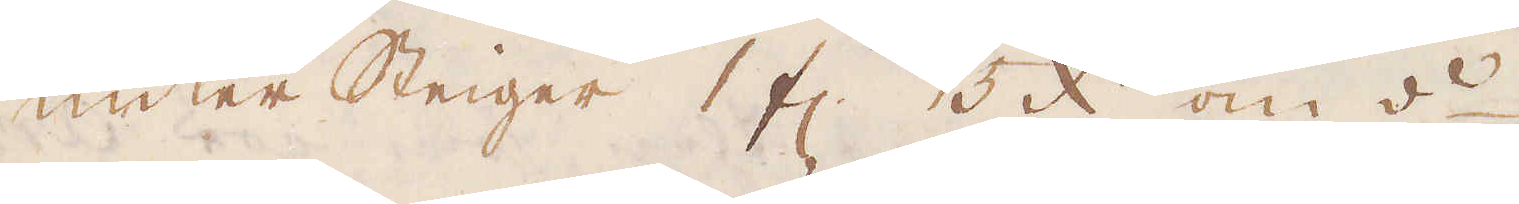Unter Steiger 1 fl. 15 x:r om d:o
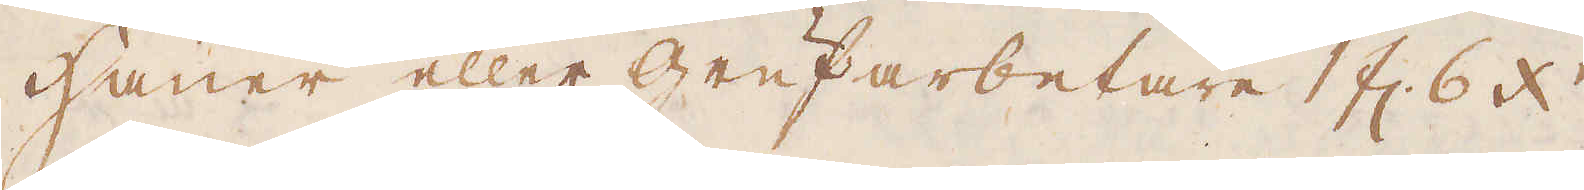Hauer eller Grufarbetare 1 fl. 6 x:r
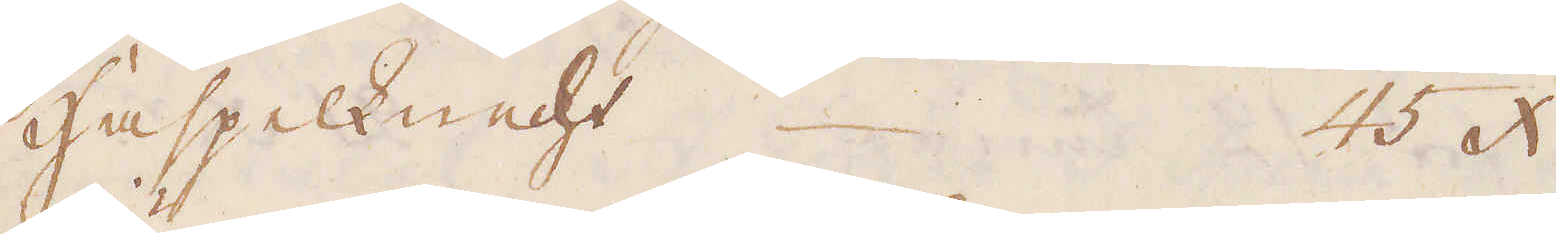Haspelknecht 45 x:r
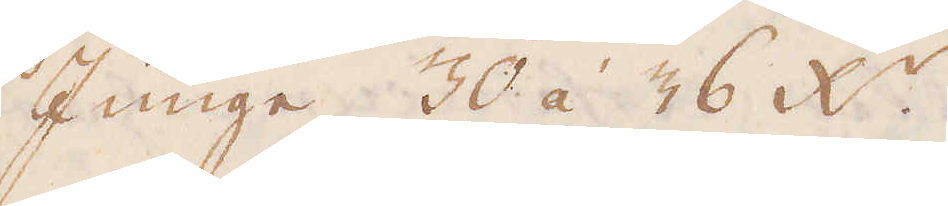Junge 30 á 36 x:r
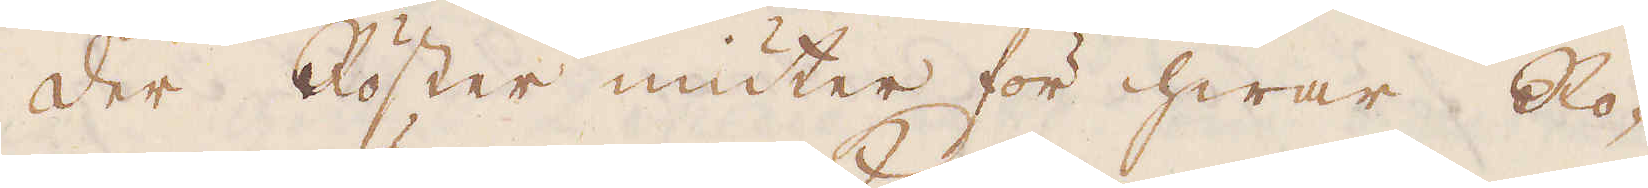Der Röster niuter för hwar Ro-
